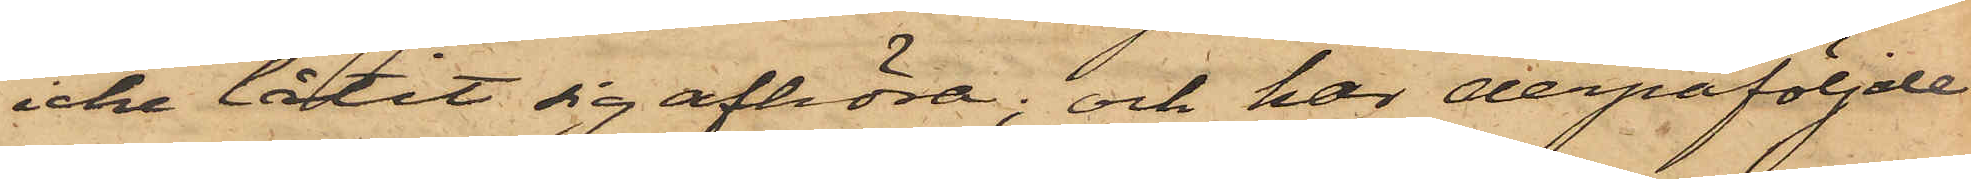icke låtit sig afhöra; och har derpåföljde
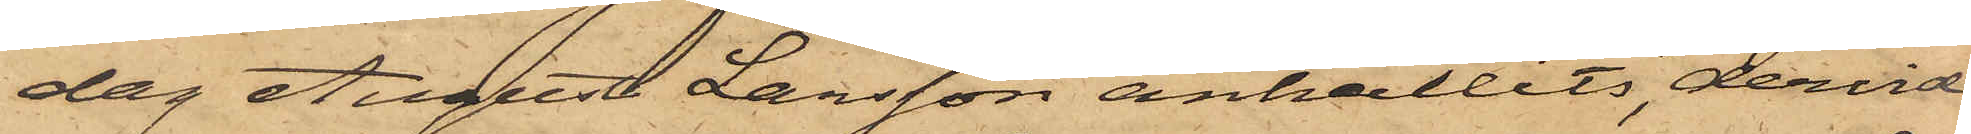dag August Larsson anhållits, dervid
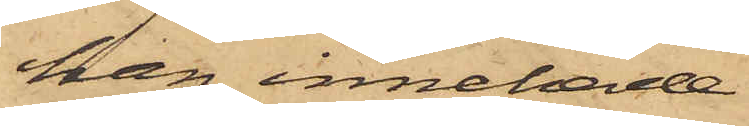han innehade
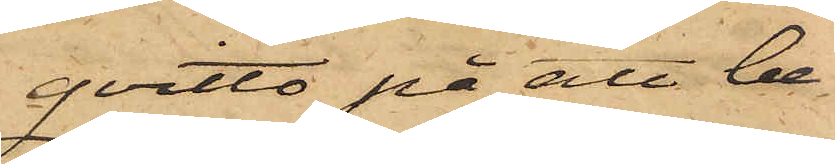qvitto på att be¬
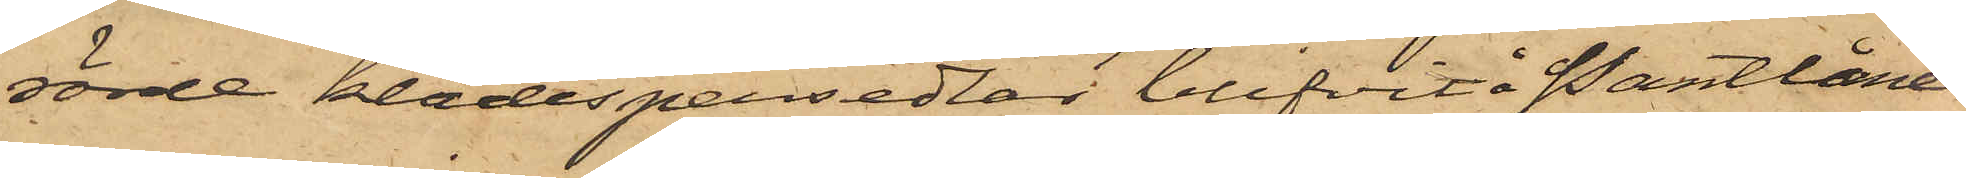rörde klädespersedlar blifvit å Pantlåne¬
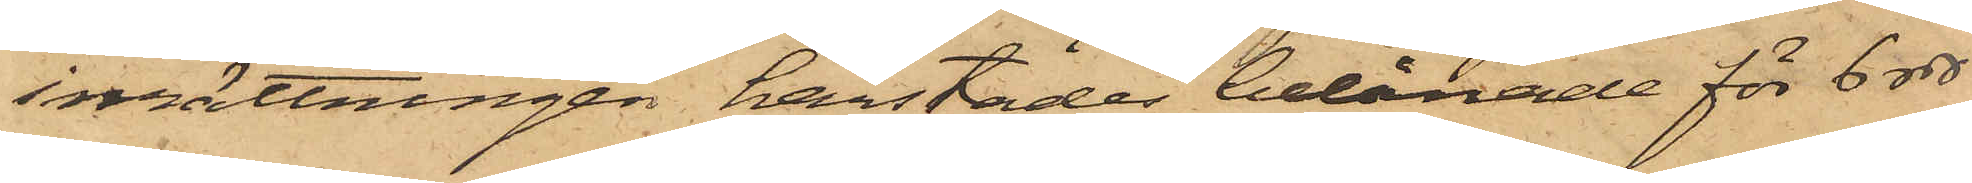inrättningen härstädes belånade för 6 rdr
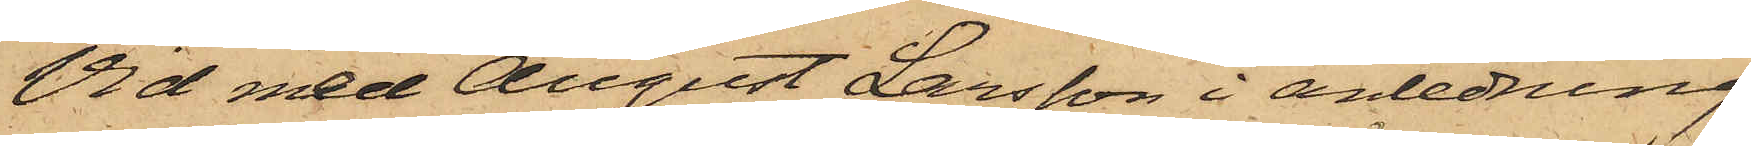Vid med August Larsson i anledning
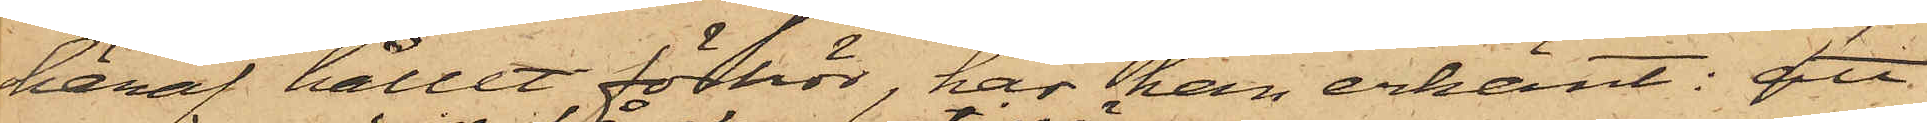häraf hållit förhör, har han erkänt: att
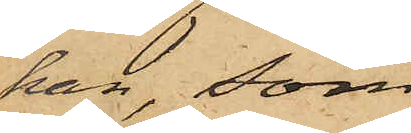han, som
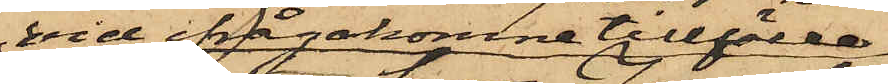vid ifrågakomne tillfälle
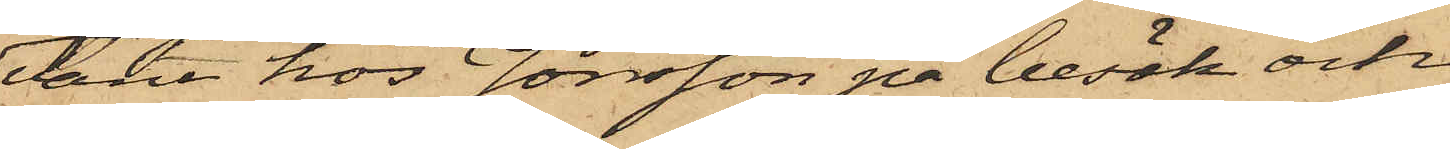varit hos Jonsson på besök och
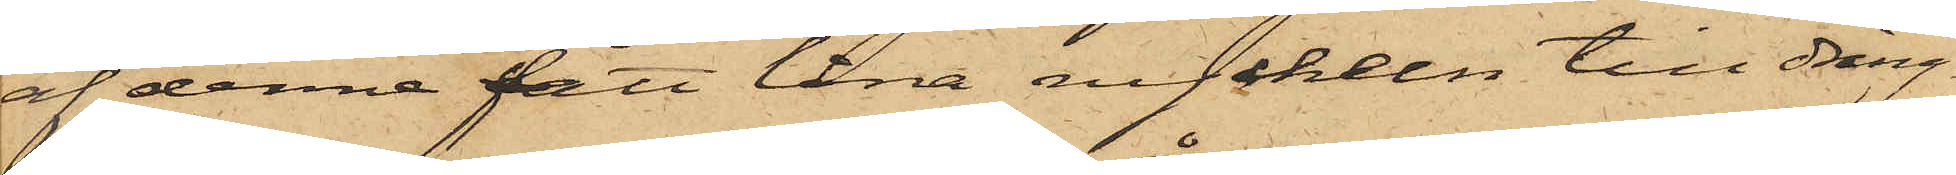af denne fått låna nyckeln till dräng¬
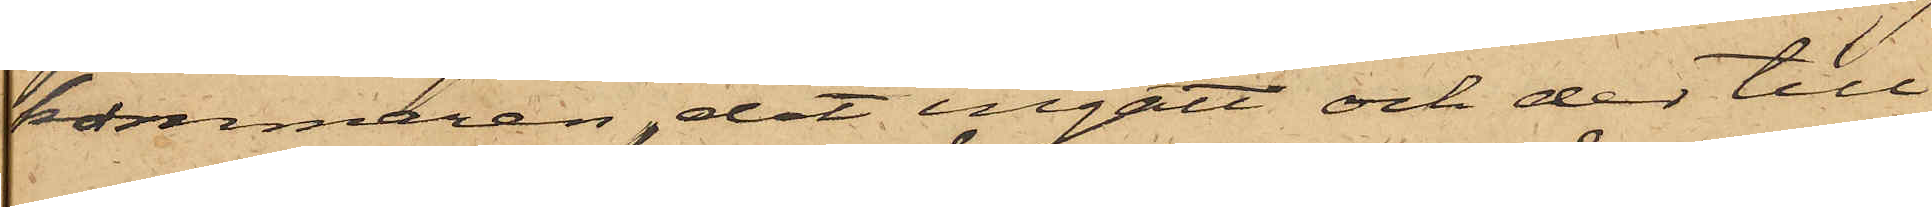kammaren, dit ingått och der till¬
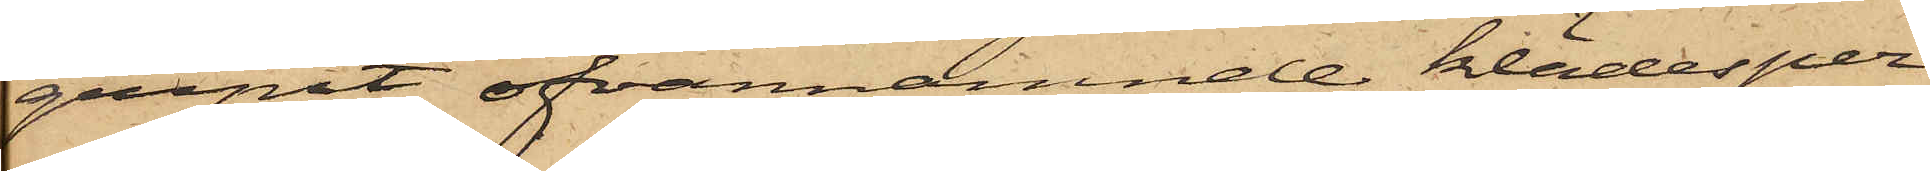gripit ofvannämnde klädesper¬
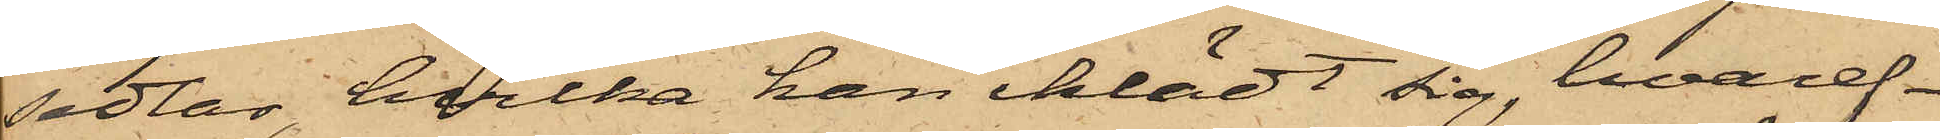sedlar, hvilka han iklädt sig, hvaref¬
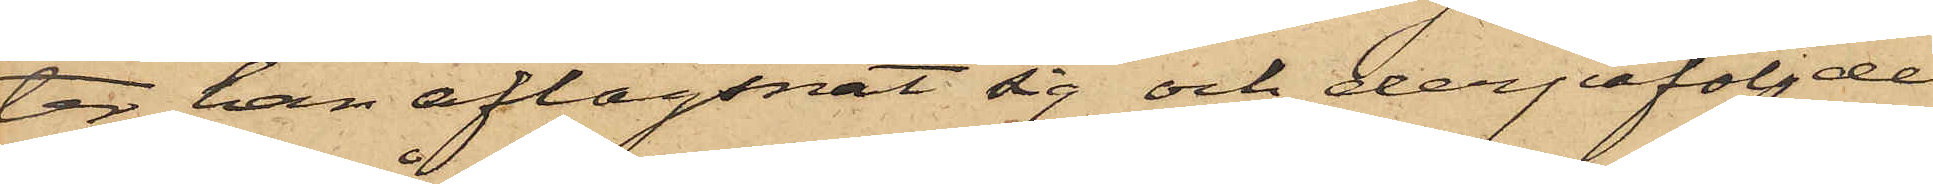ter han aflägsnat sig och derpåföljde
